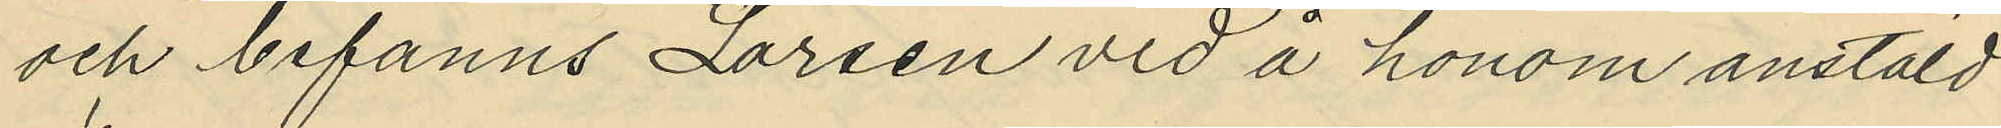och befanns Larsen vid å honom anstäld
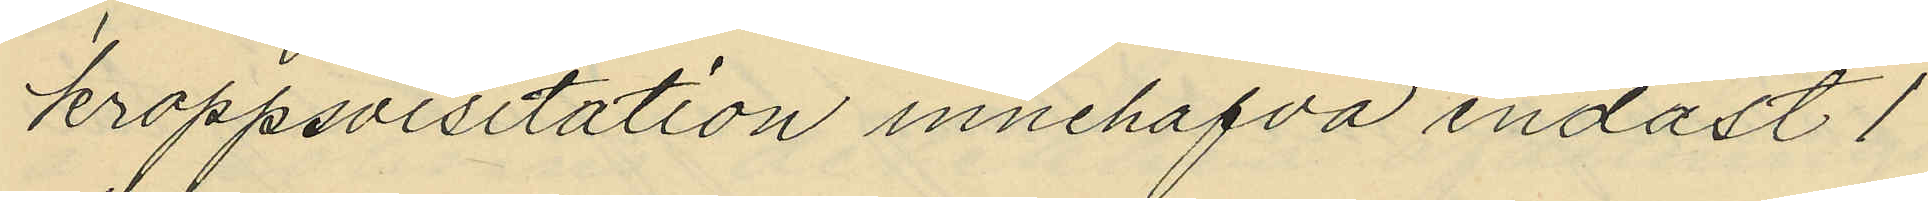kroppsvisitation innehafva endast 1
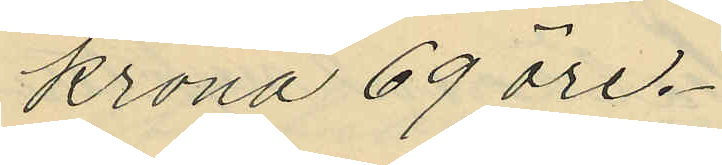krona 69 öre.
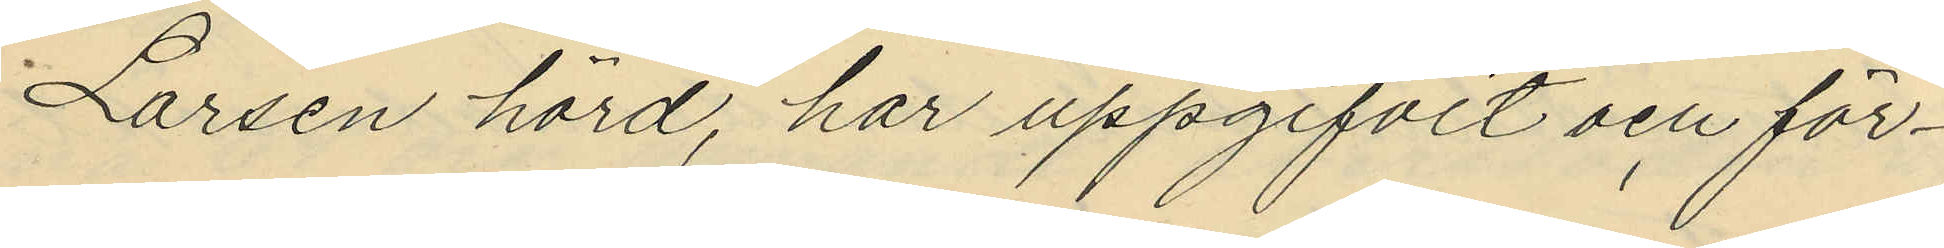Larsen hörd, har uppgifvit och för¬
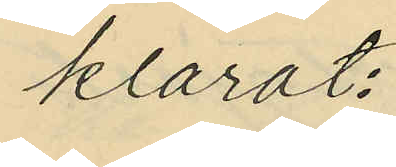klarat:
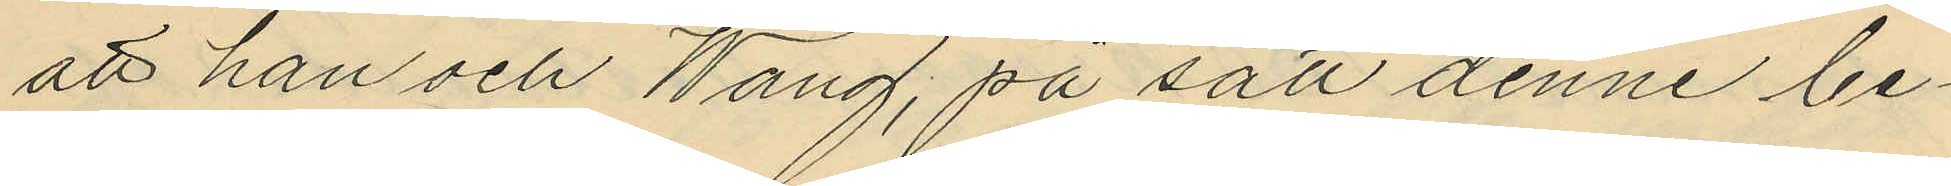att han och Wang, på sätt denne be¬
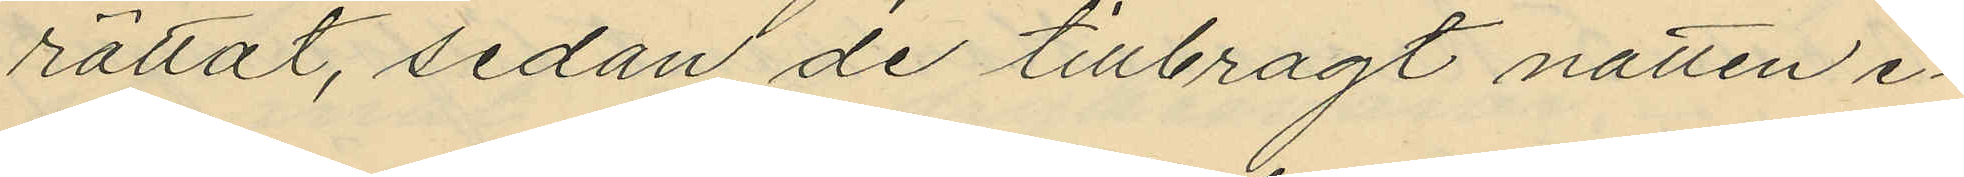rättat, sedan de tillbragt natten e¬
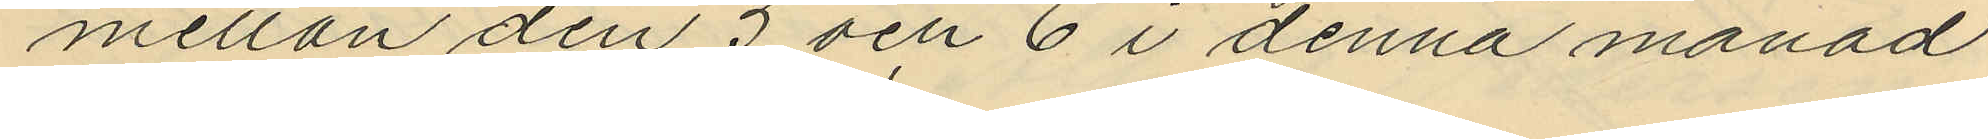mellan den 5 och 6 i denna månad
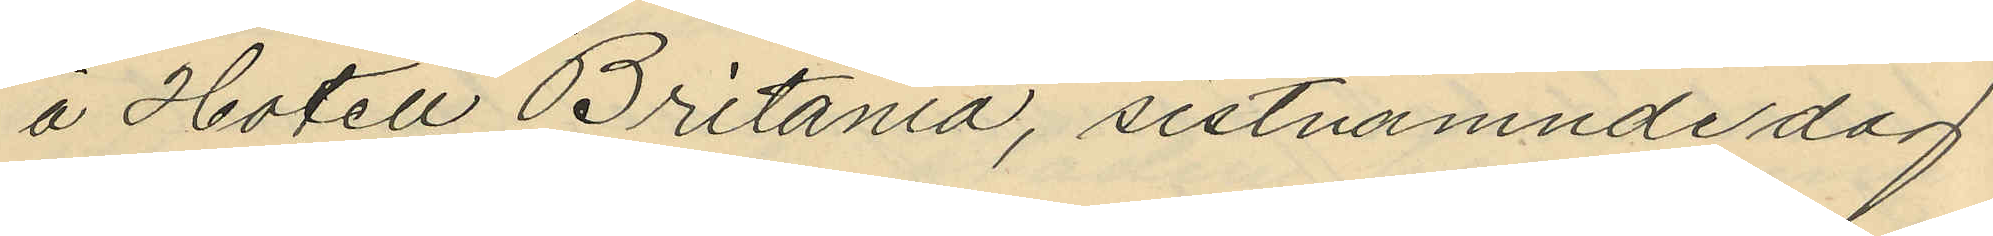å Hotell "Britania", sistnämnde dag
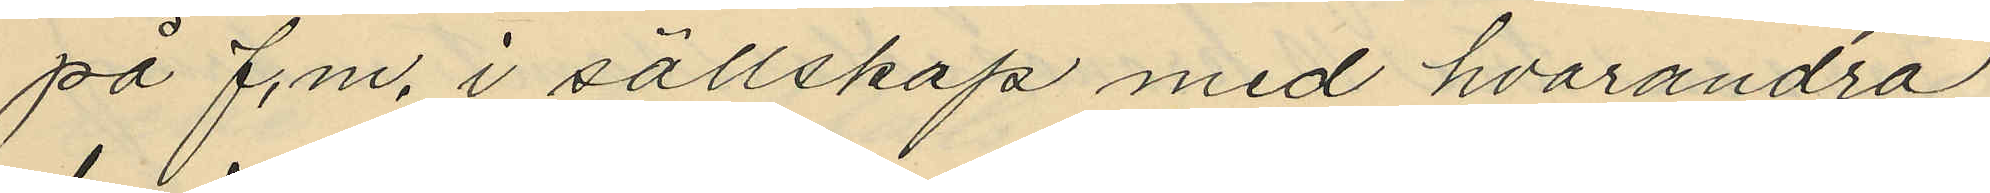på f.m. i sällskap med hvarandra
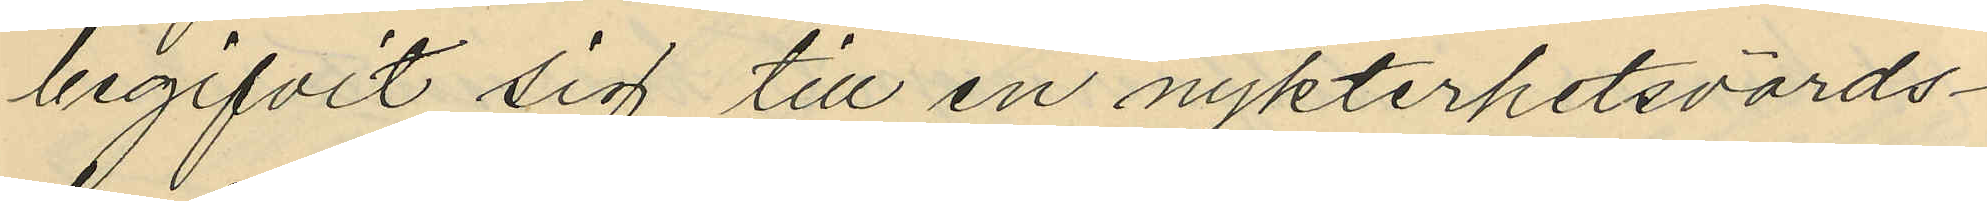begifvit sig till en nykterhetsvärds¬
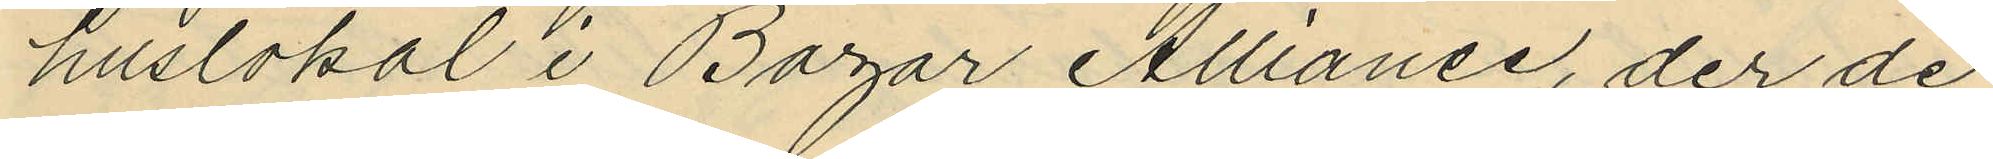huslokal i Bazar Allianse, der de
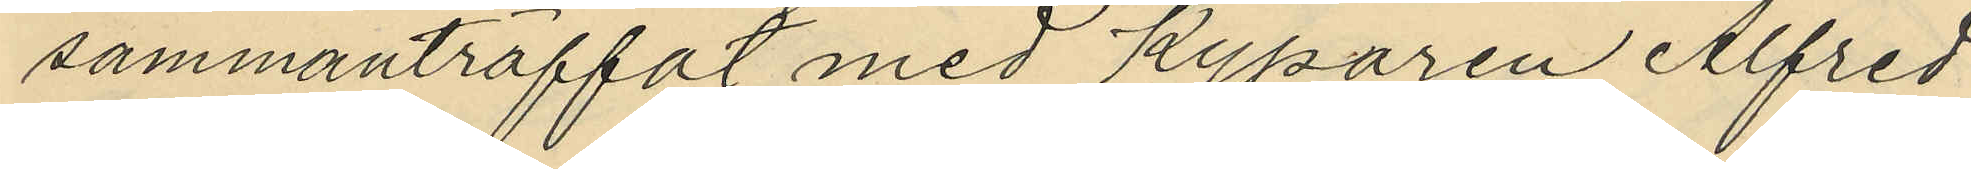sammanträffat med Kyparen Alfred
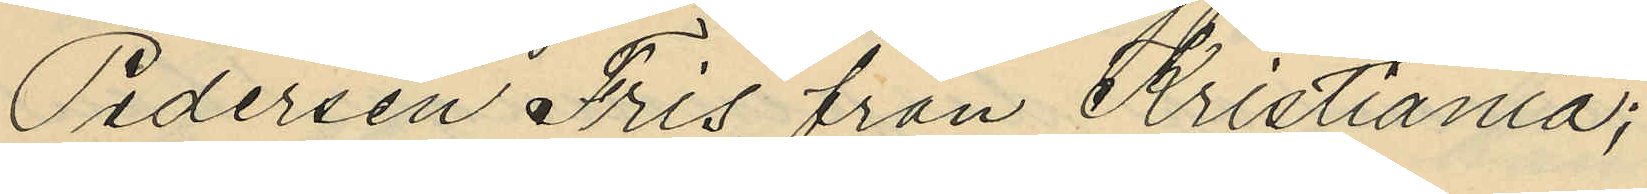Pedersen Fris från Kristiania;
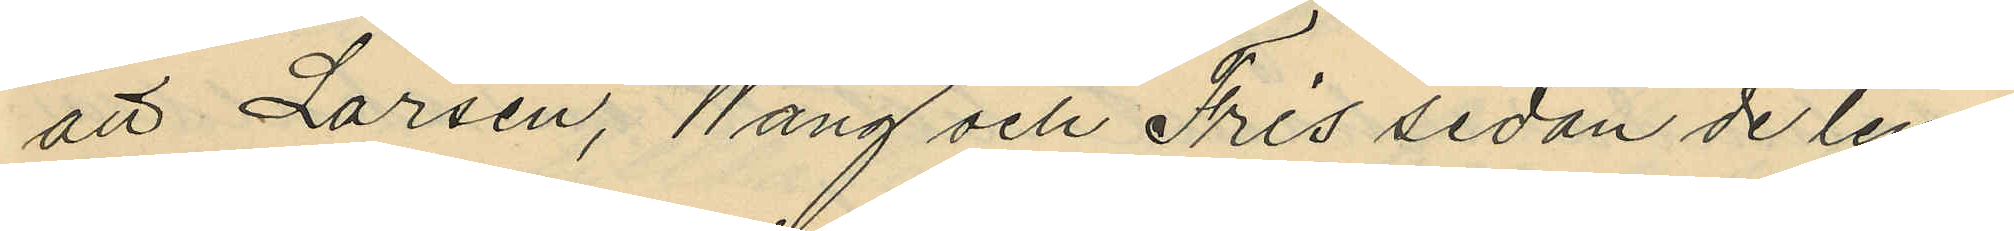att Larsen, Wang och Fris sedan de lem¬
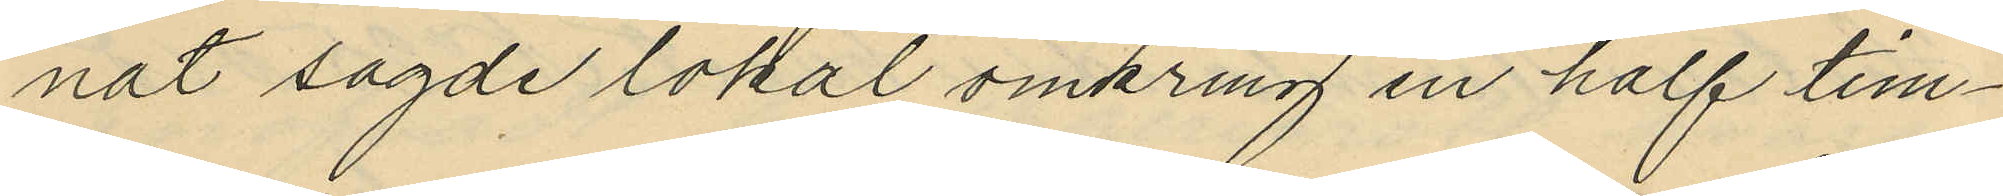nat sagde lokal omkring en half tim¬
